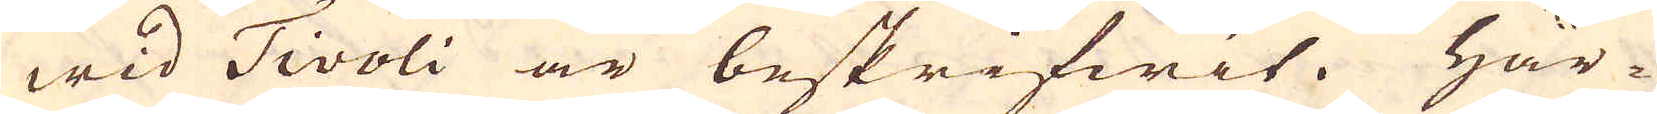wid Tivoli är beskrifwit. Här-
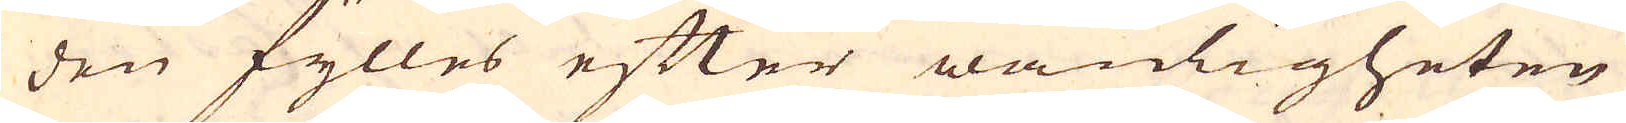den fylles efter wanligheten
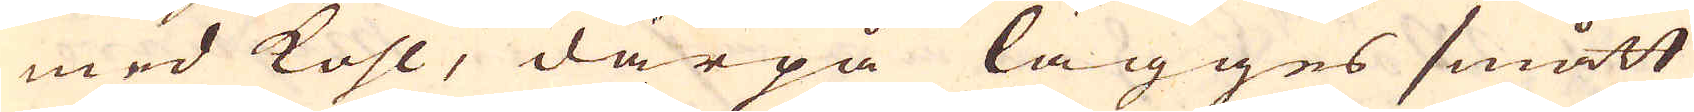med kohl, därpå lägges smått
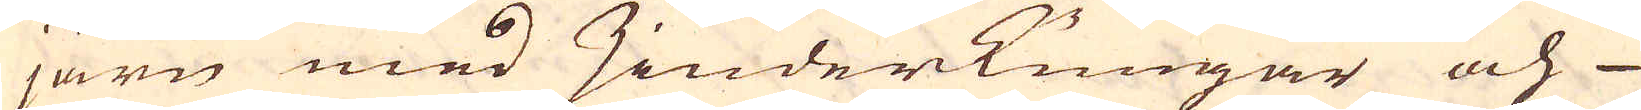järn med zinderkungar och
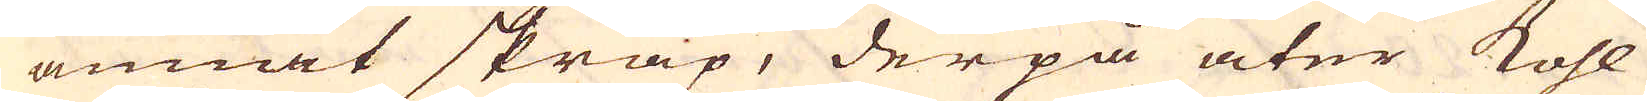annat skräp, derpå åter kohl
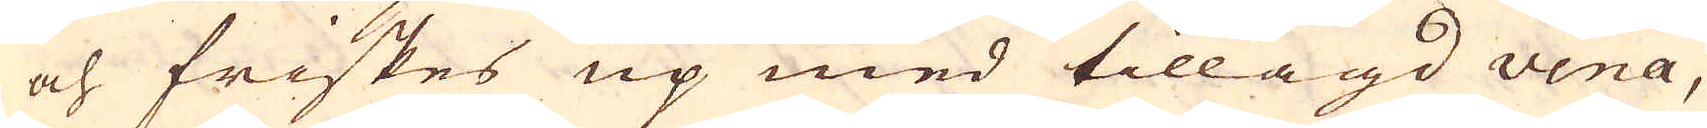och friskes up med tillagd vena,
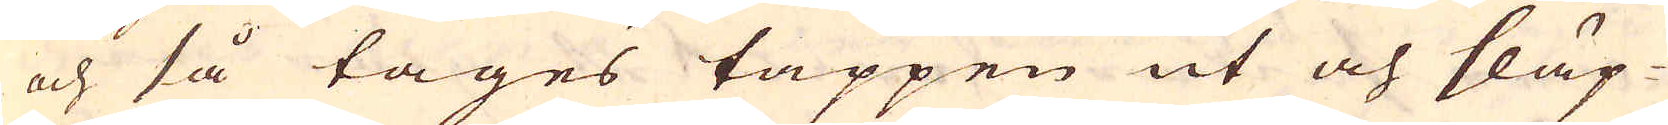och så tages tappen ut och släp-
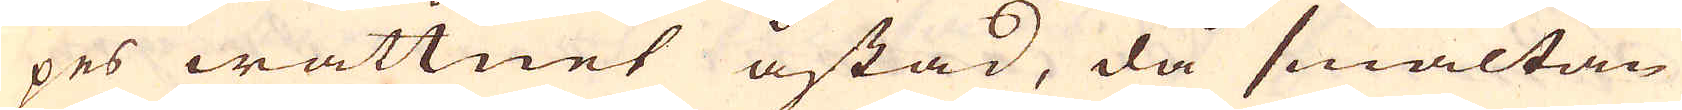pes wattnet åstad, då smältan
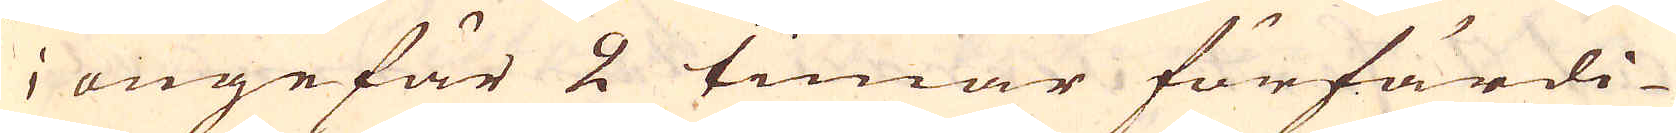i ungefär 2 timar förfärdi-
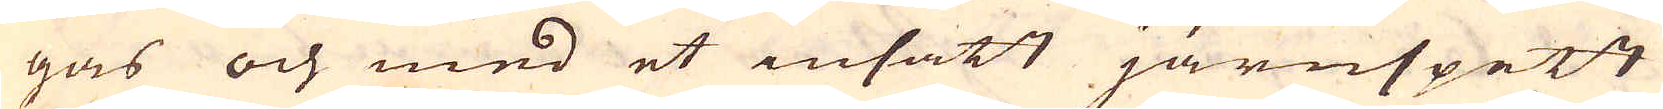gas och med et insatt järnspett
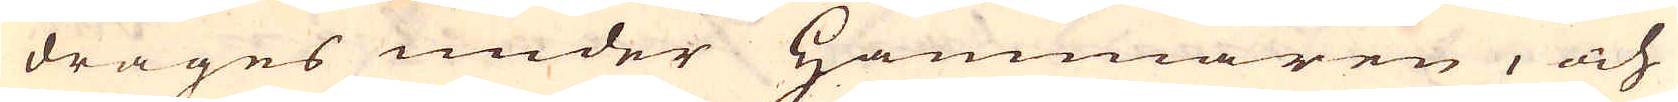drages under Hammaren, och
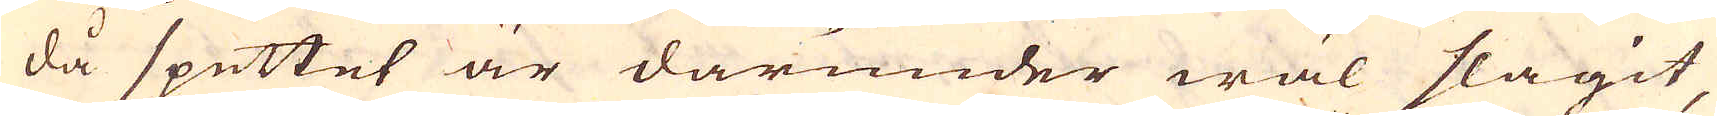då spettet är därunder wäl slagit,
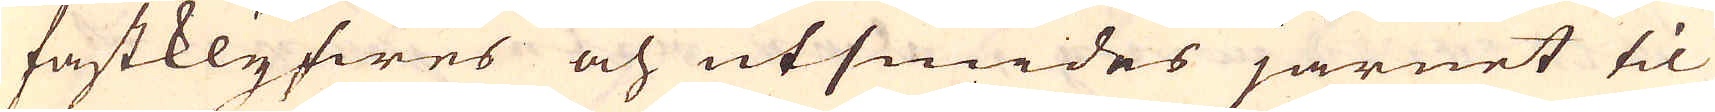fastklyfwes och utsmides järnet til
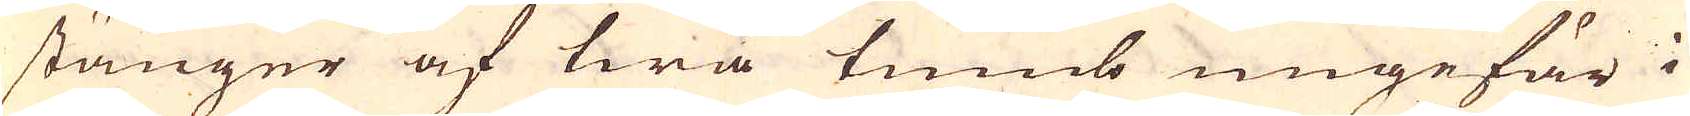stänger af twå tumb ungefär i
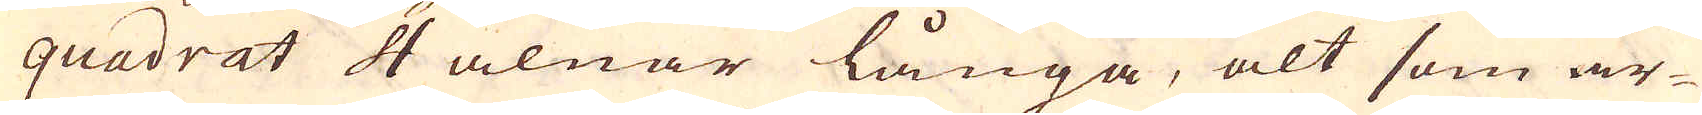quadrat 4 alnar långa, alt som ar-
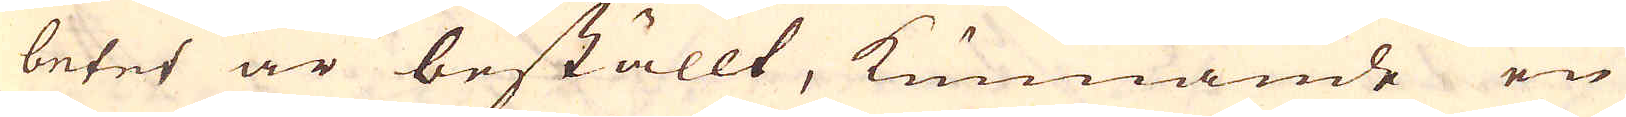betet är beställt, kunnande en
